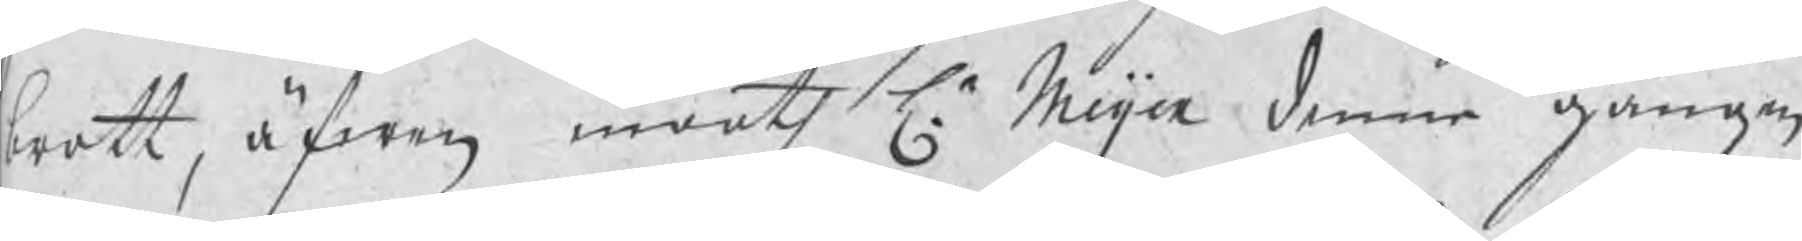brott, äfwen mooth Hr Meijer denne gången
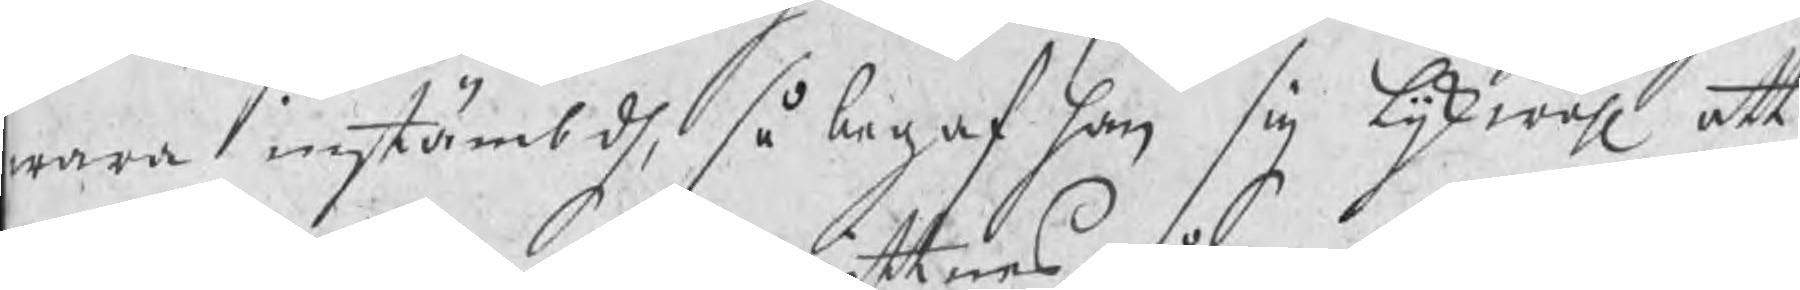wara instämbdh, så begaf han sig lijkwähl att
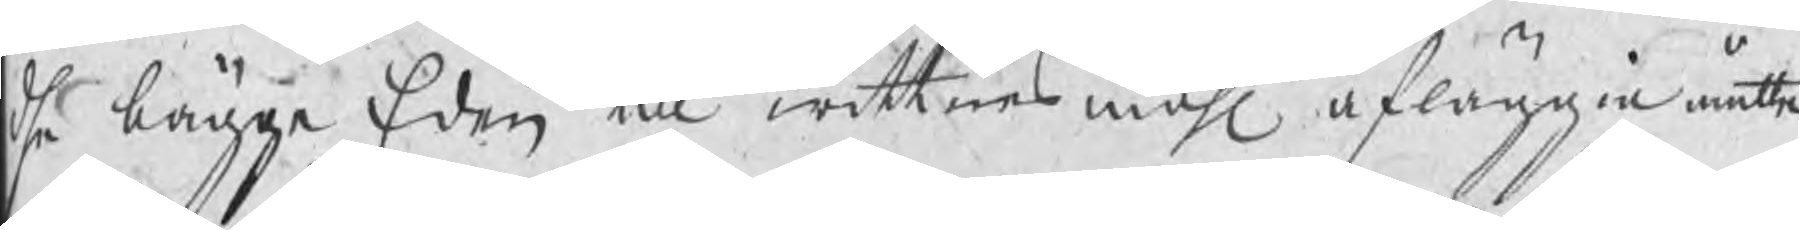dhe bägge Eden till wittnesmåhl afläggia måtte.
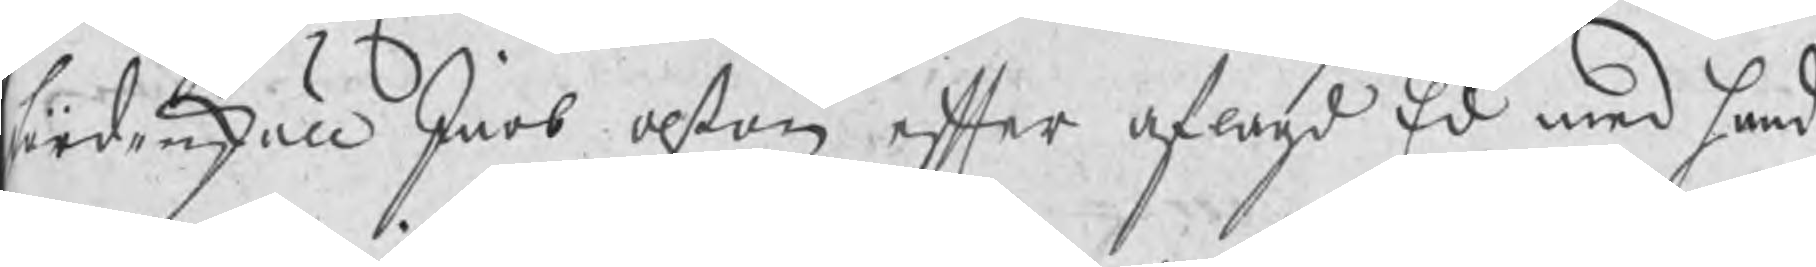fördenskull Jacob Olßon efter aflagd Ed med hand
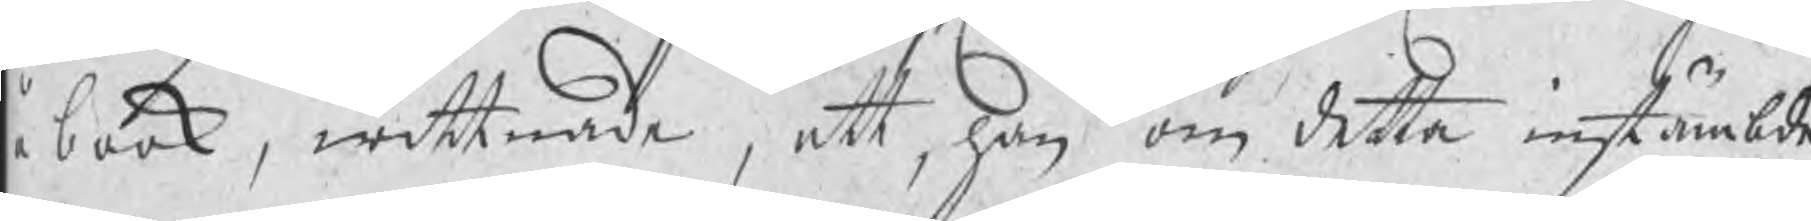å book, wittnade, att, han om detta instämbde
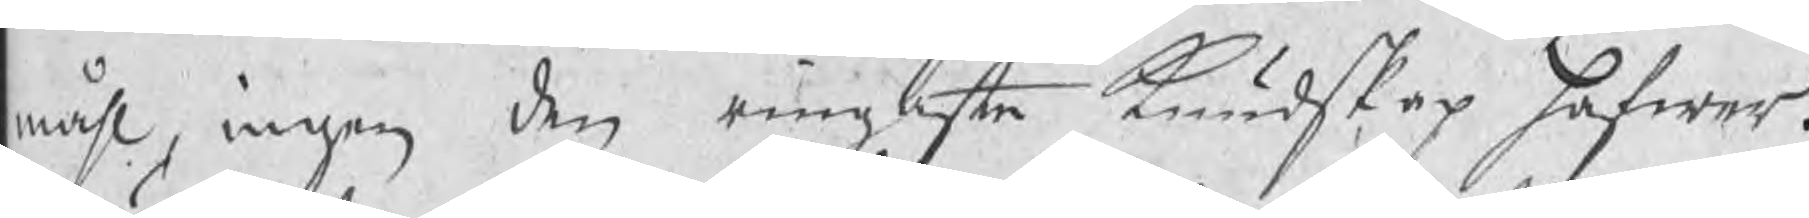måhl, ingen den ringaste kundskap hafwer.
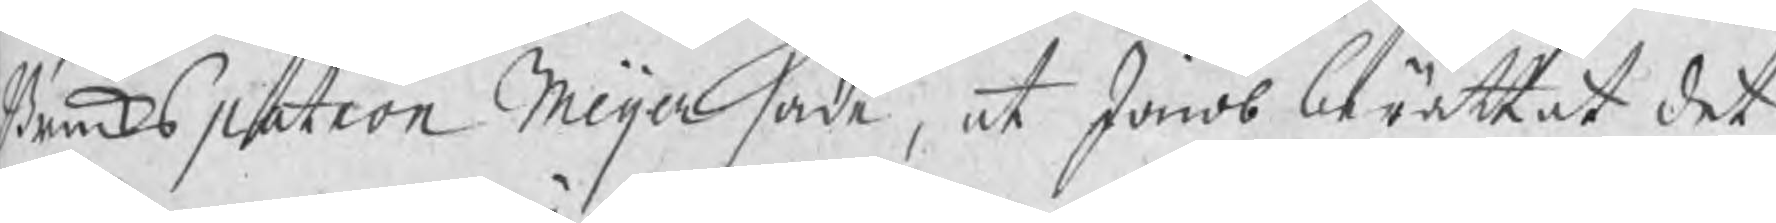Brukspatron Meijer sade, at Jacob berättat det
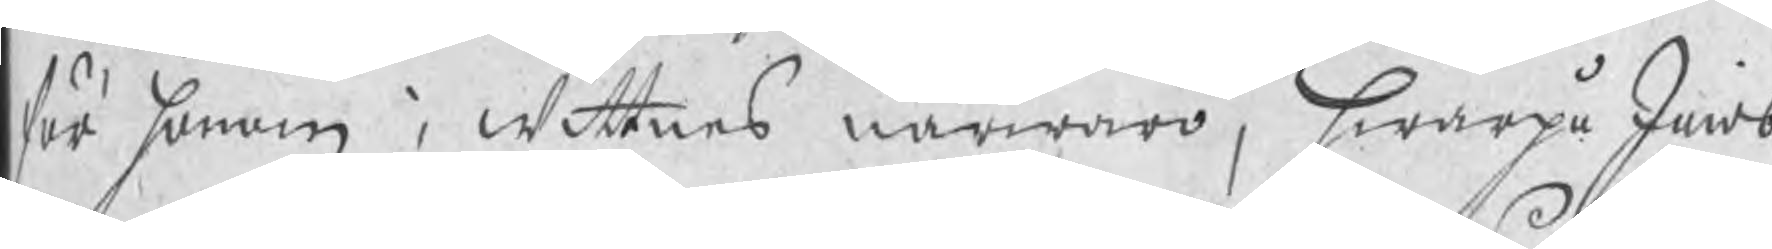för honom i wittnes närwaro, hwarpå Jacob
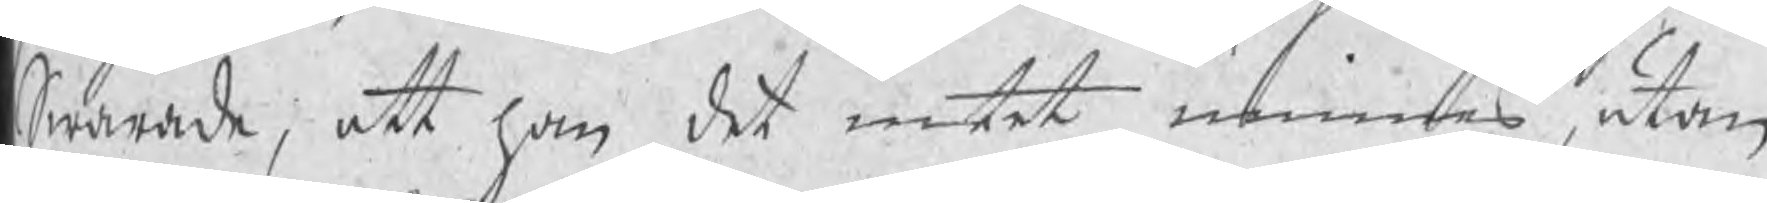Swarade, att han det intet minnes, utan
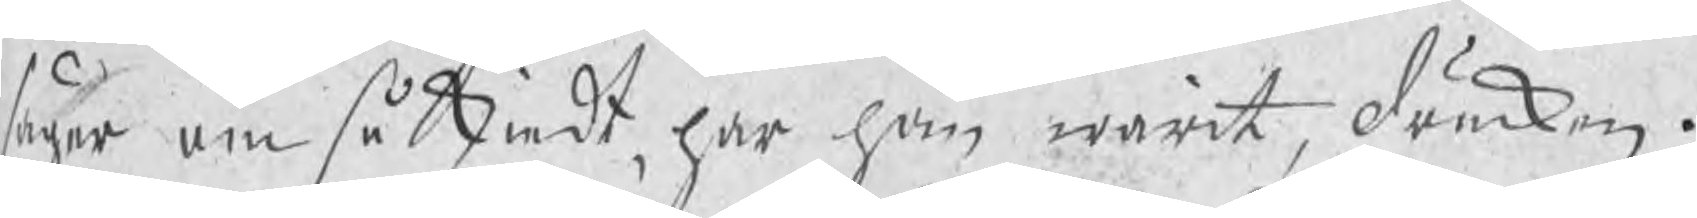säger om så skiedt, har han warit drucken.
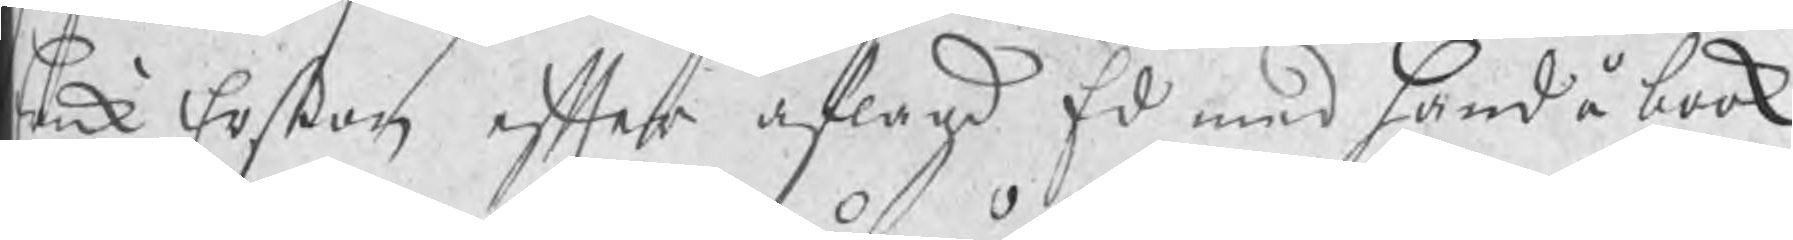Erik Erßon efter aflagd Ed med hand å book
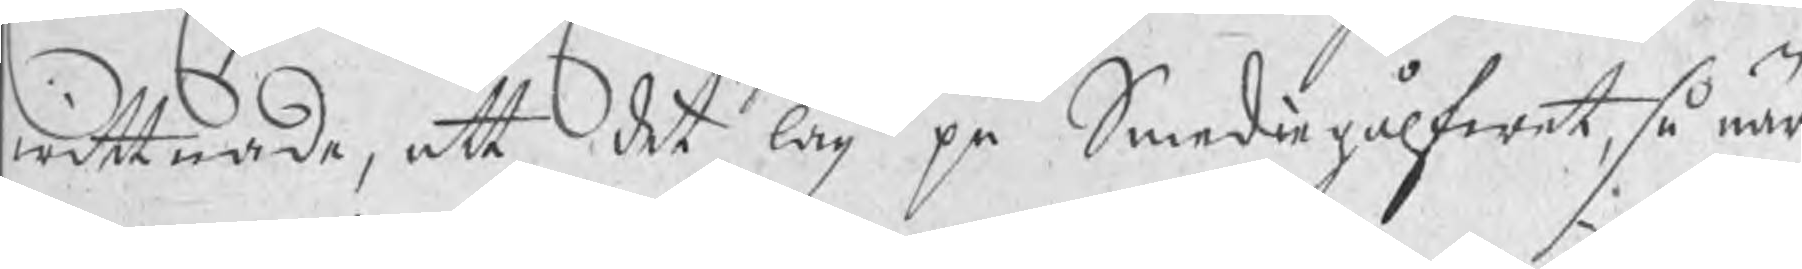wittnade, att det låg på Smediegålfwet, så när
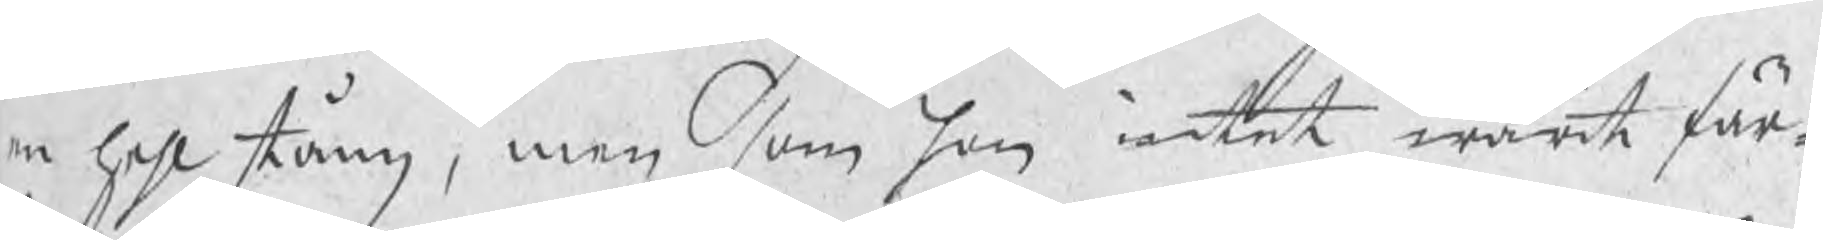en hehl stång, men som han intet warit fär¬
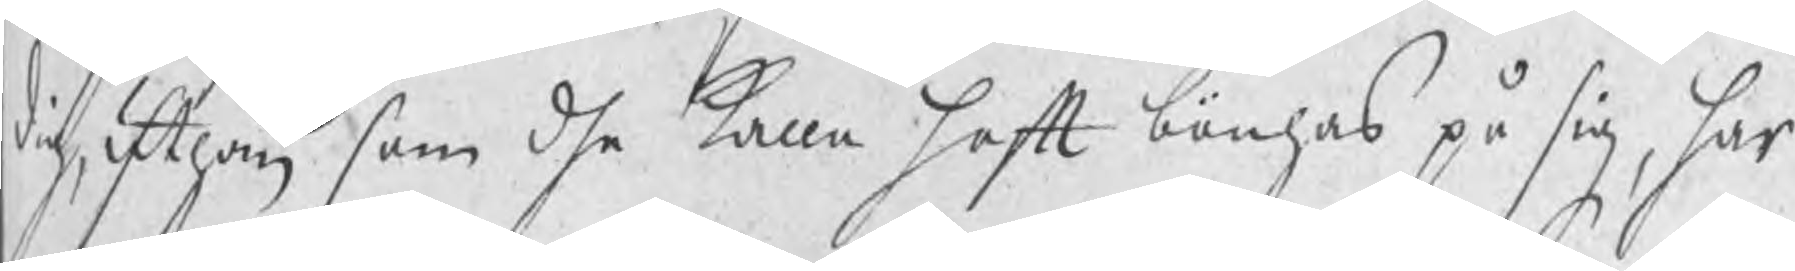dig, uthan som dhe kalla haft bönhas på sig, har
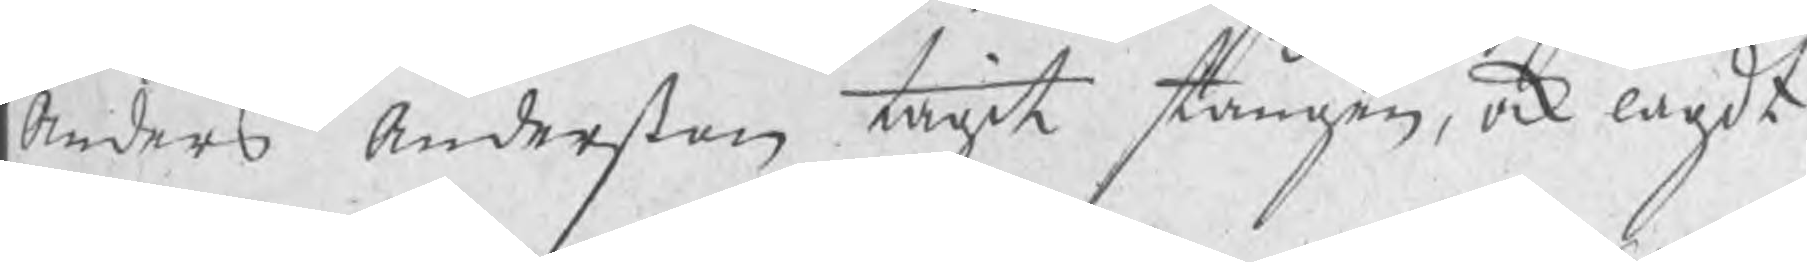Anders Anderßon tagit stången, ock lagdt
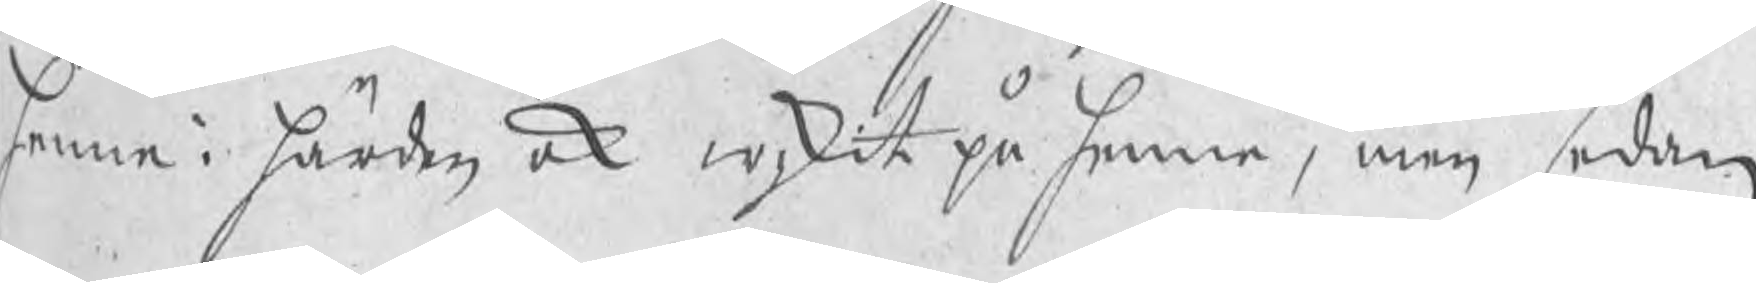henne i härden ock wikit på henne, men sedan
